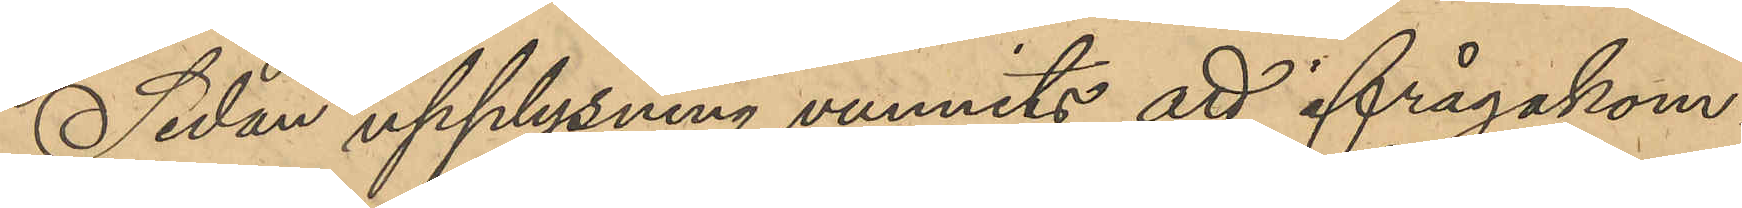Sedan upplysning vunnits att ifrågakom¬
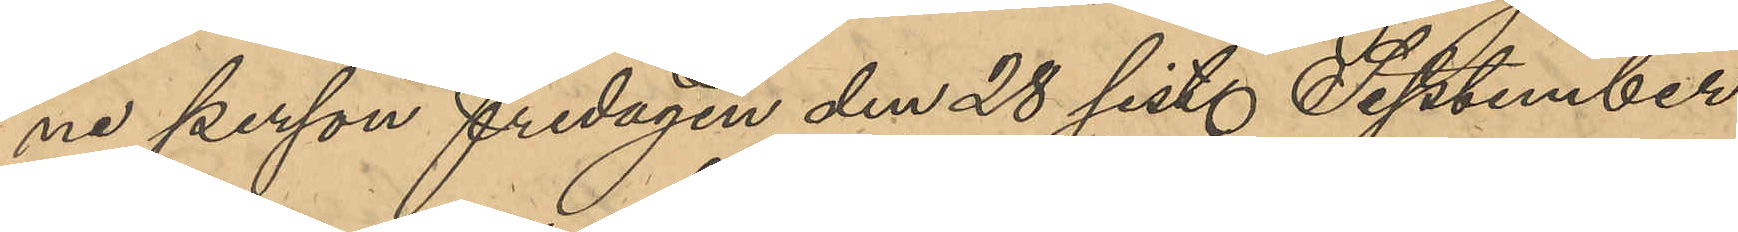ne person fredagen den 28 sist. September
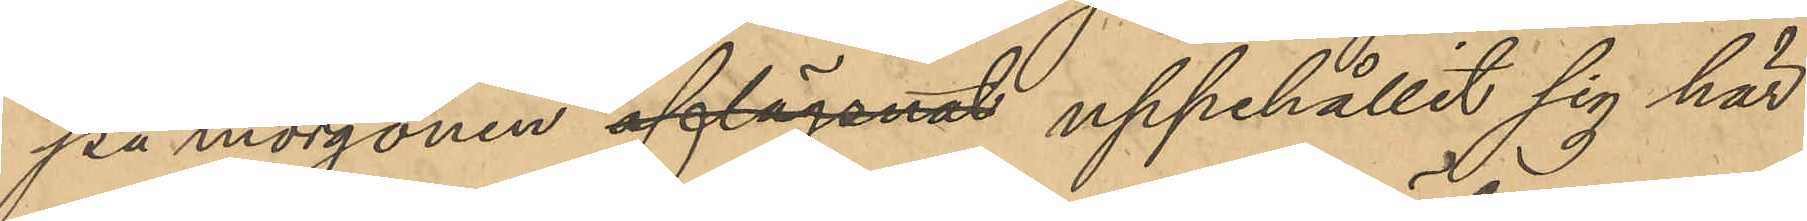på morgonen aflägsnat uppehållit sig här
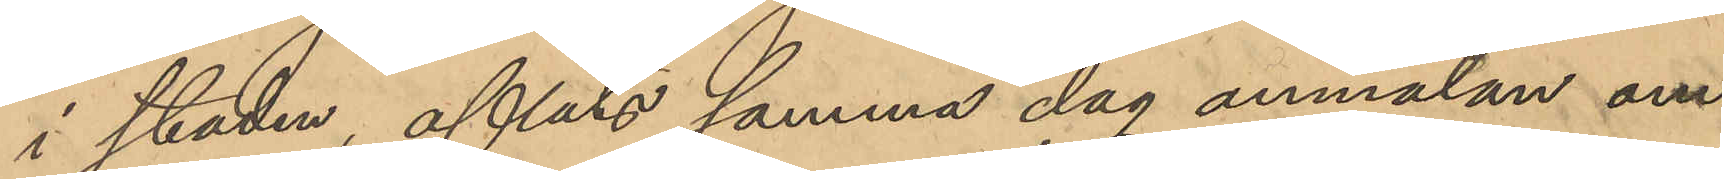i staden, afläto samma dag anmälan om
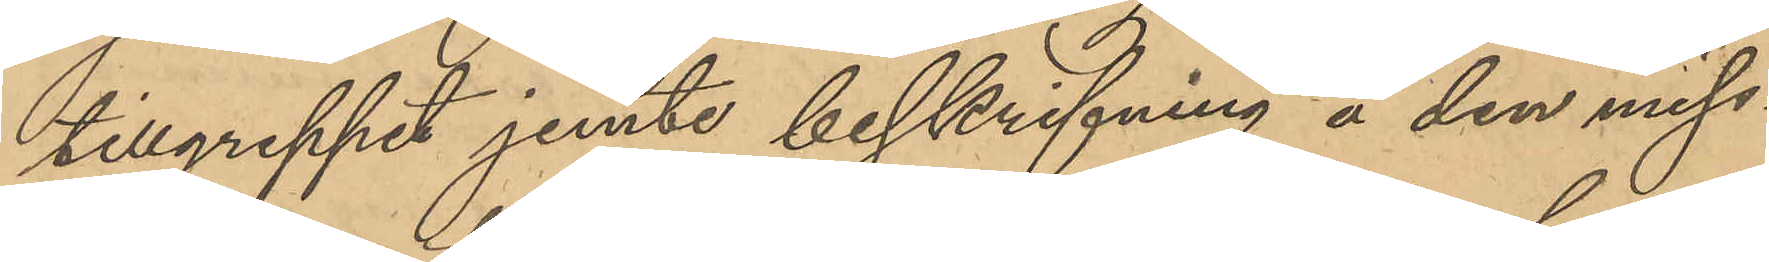tillgreppet jemte beskrifning å den miss¬
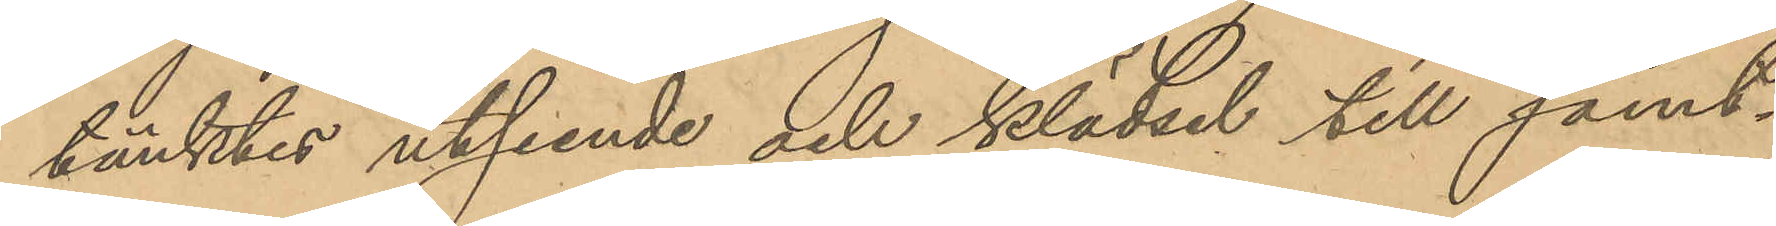tänktes utseende och klädsel till samt¬
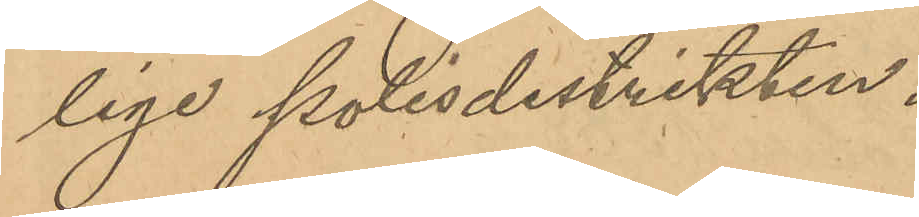lige polisdistrikten.
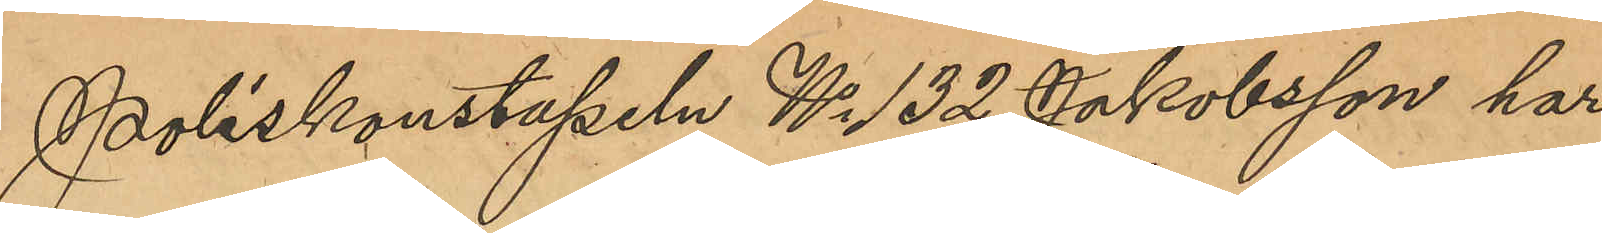Poliskonstapeln No 132 Jakobsson har
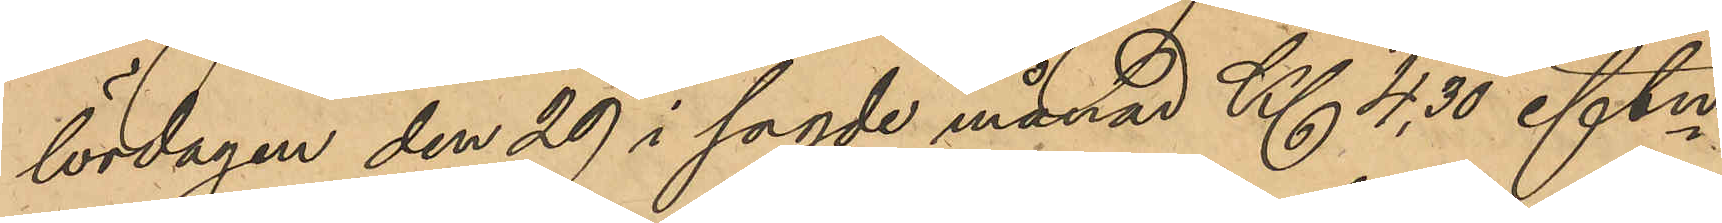lördagen den 29 i sagde månad Kl 4,30 eftm
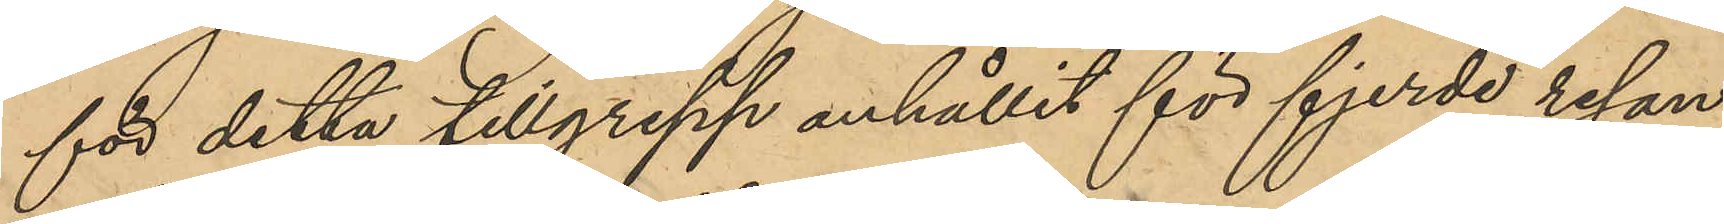för detta tillgrepp anhållit för fjerde resan
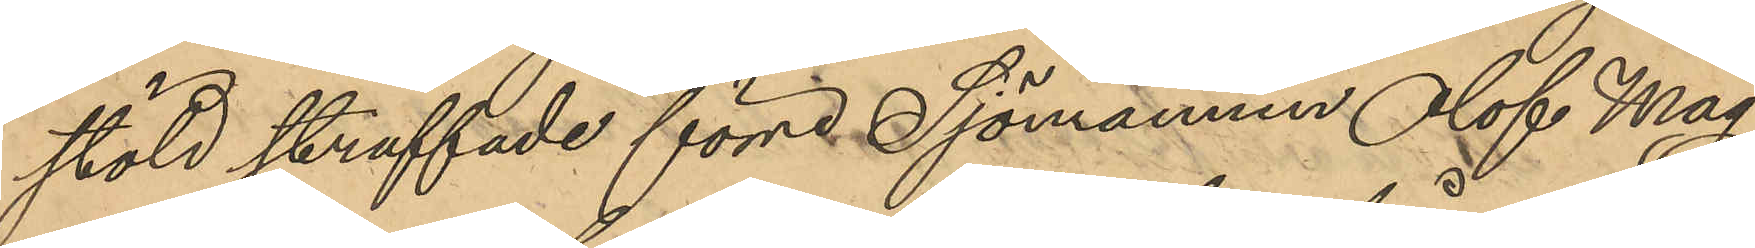stöld straffade förre Sjömannen Olof Mag¬
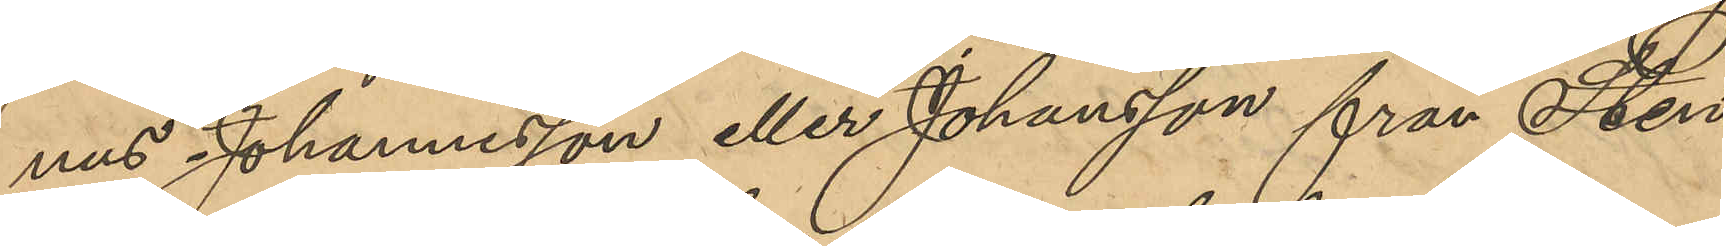nus Johannesson eller Johansson från Sten¬
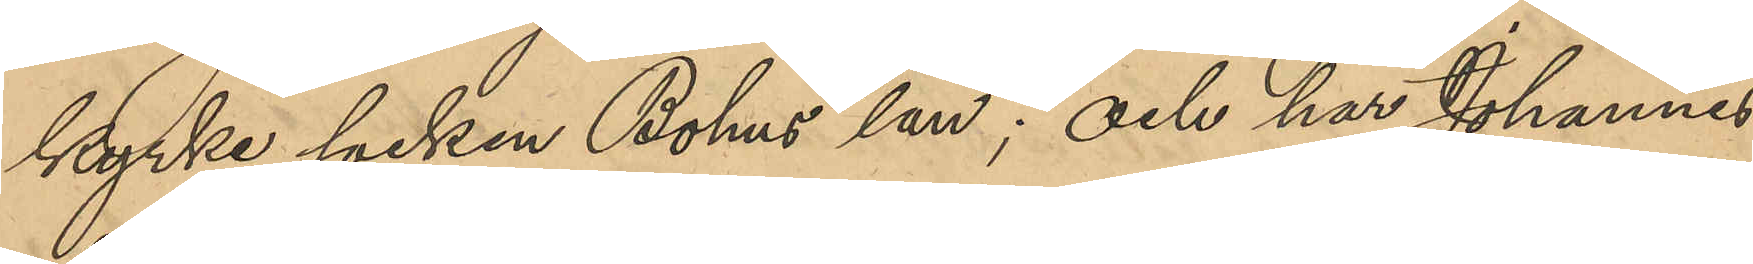kyrke socken Bohus län; och har Johannes¬
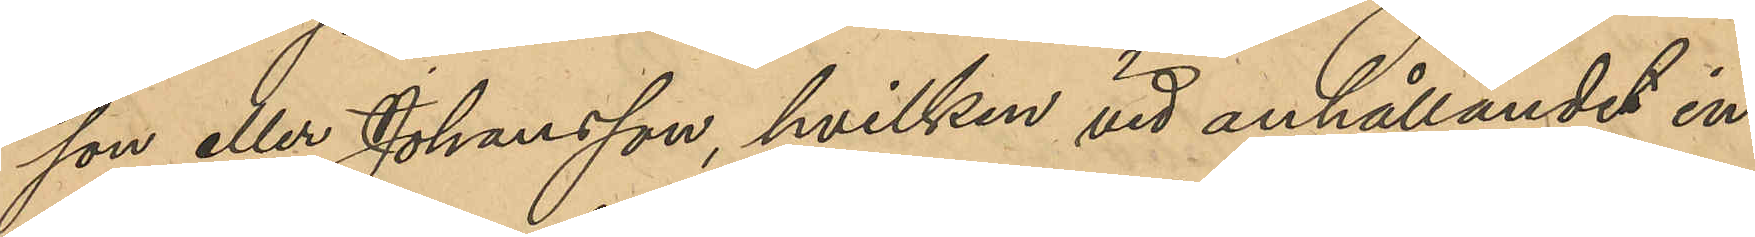son eller Johansson, hvilken vid anhållandet in¬
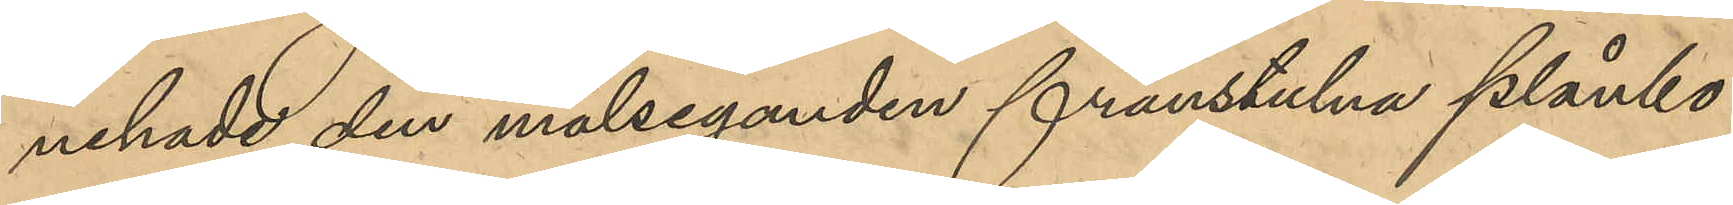nehade den målseganden frånstulna plånbo¬
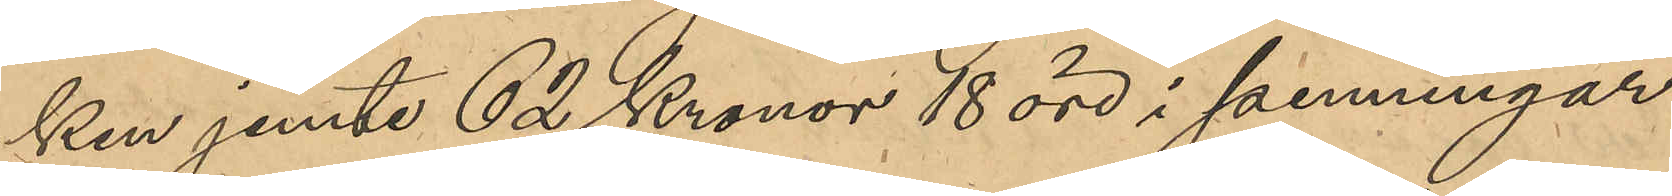ken jemte 62 Kronor 18 öre i penningar
